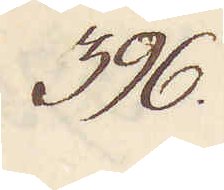396.
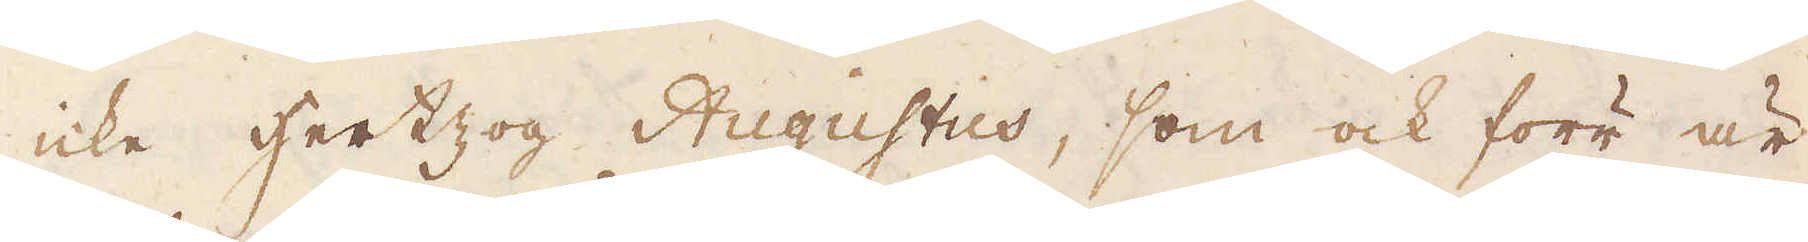icke hertzog Augustus, som ock förr är
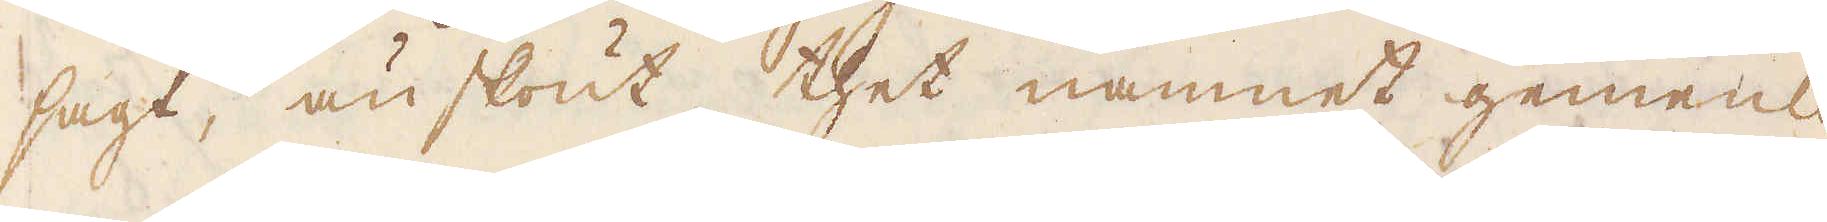sagt, änskönt thet namnet gemenli-
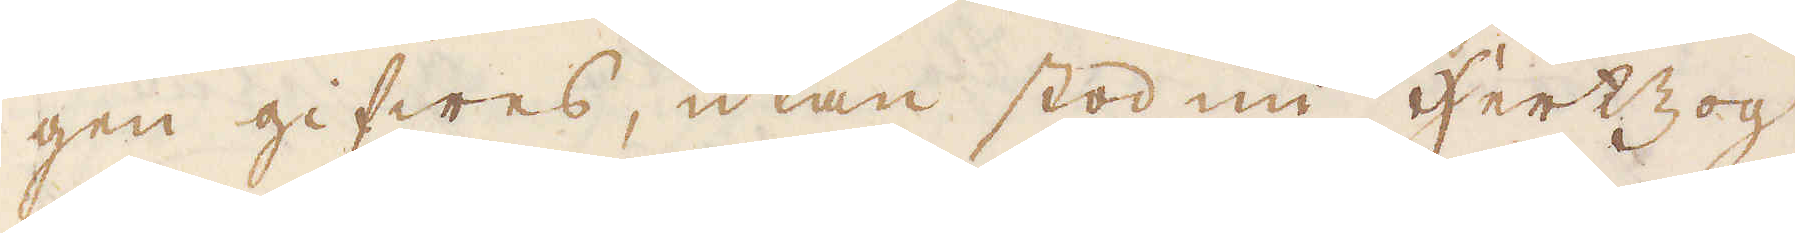gen gifwes, utan stod nu Hertzog
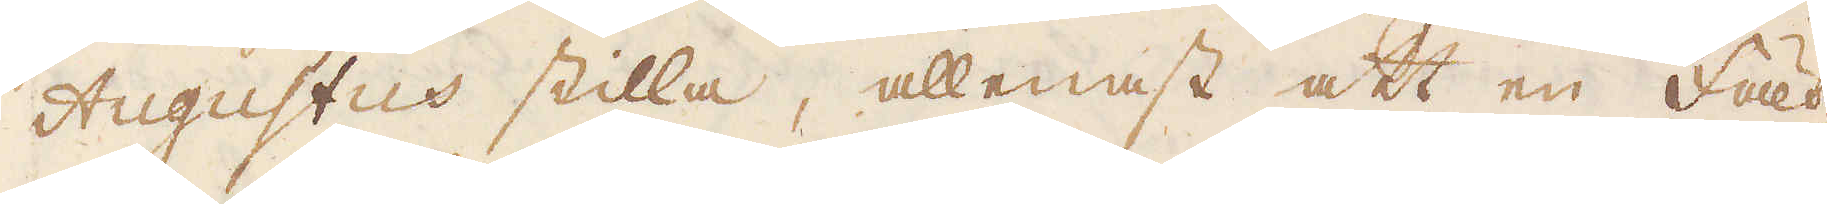Augustus stilla, allenast att en fält-
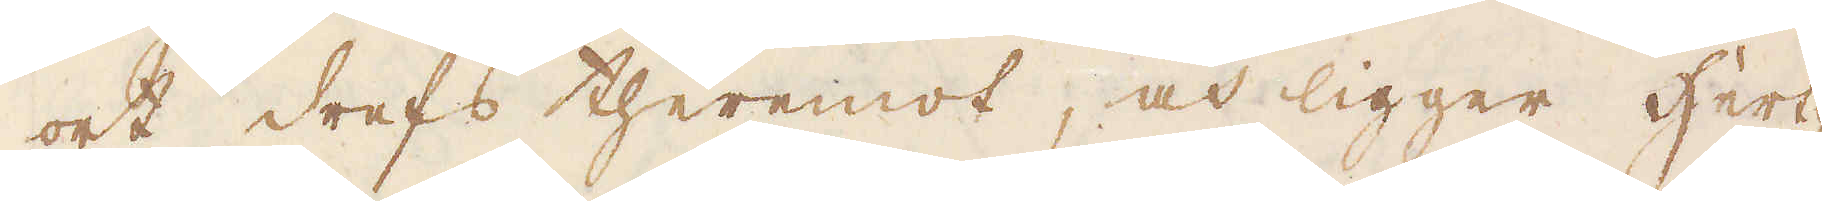ort drefs theremot, och ligger Hert-
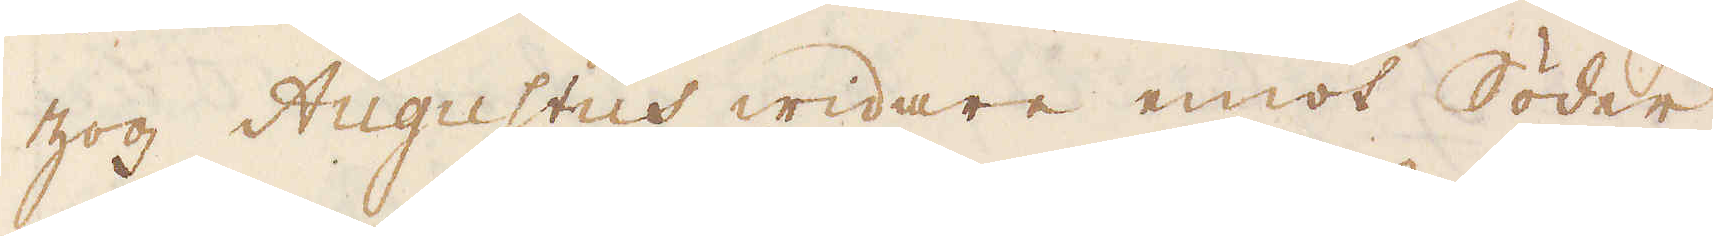zog Augustus widare emot Söder
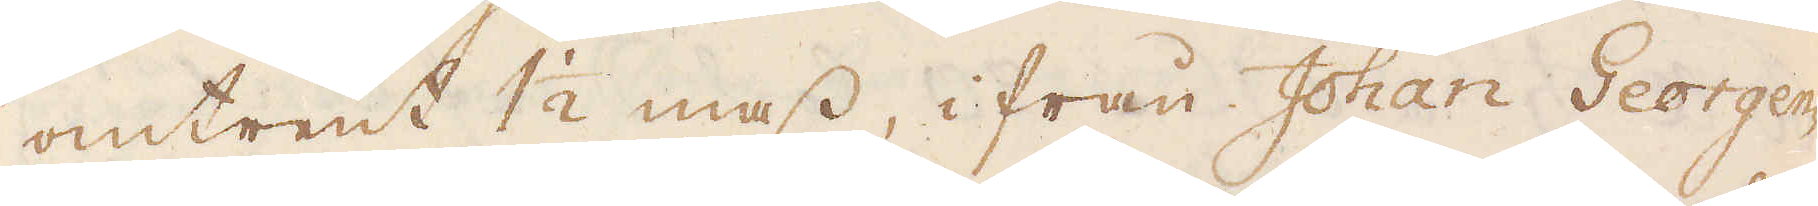omtrent 1 1/2 mass, ifrån Johan Georgen-
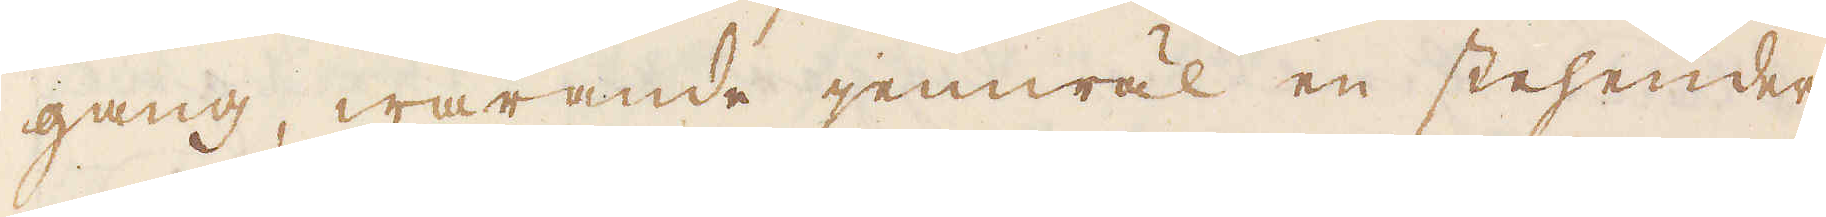gang, warande jemwäl en stehender
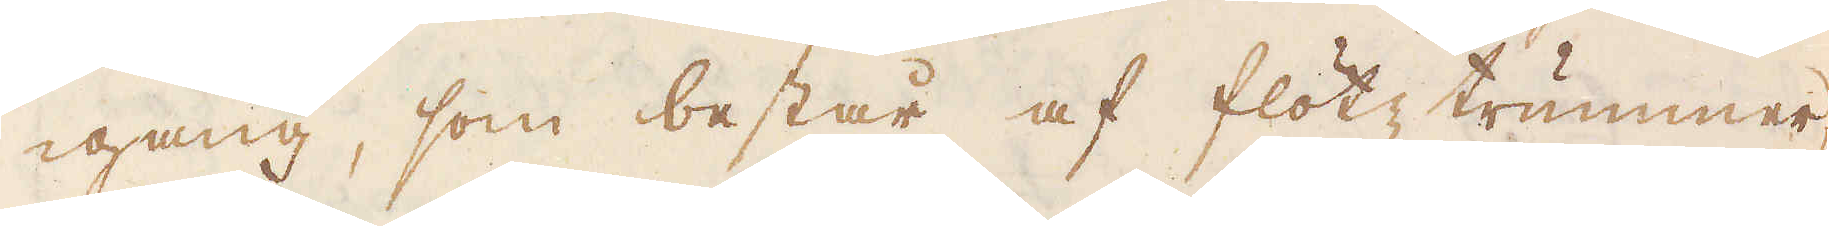-gang, som består af flötz trummer
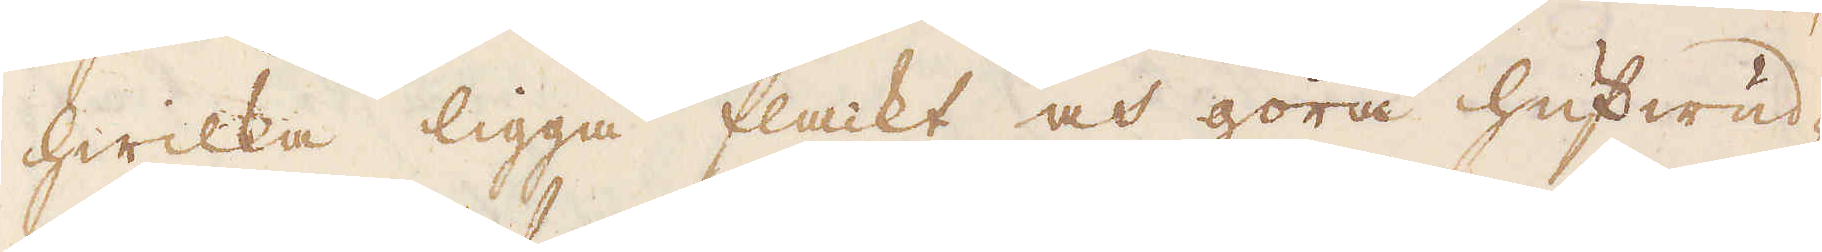hwilka ligga flackt och göra hufwud-
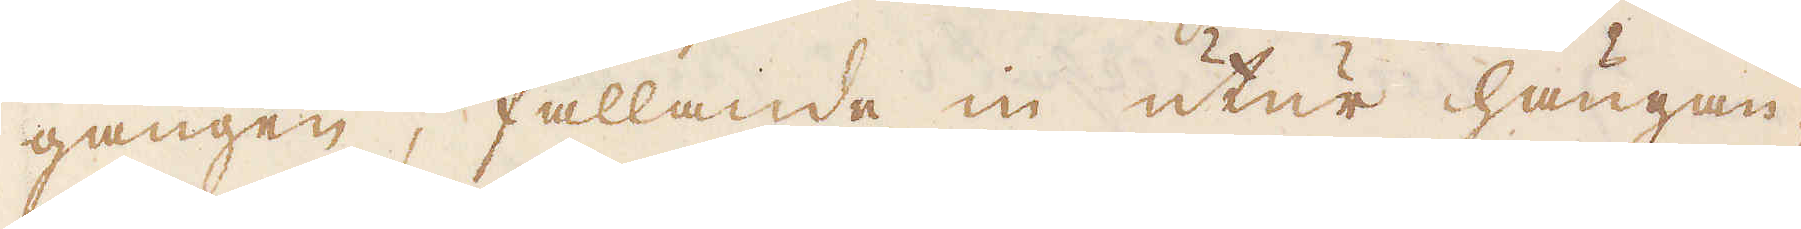gången, fallande in utur hängan-
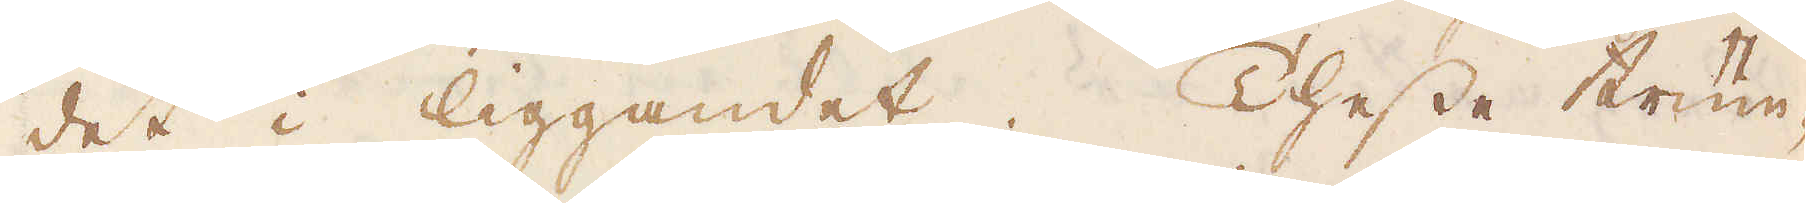det i liggandet. Thesse trum-
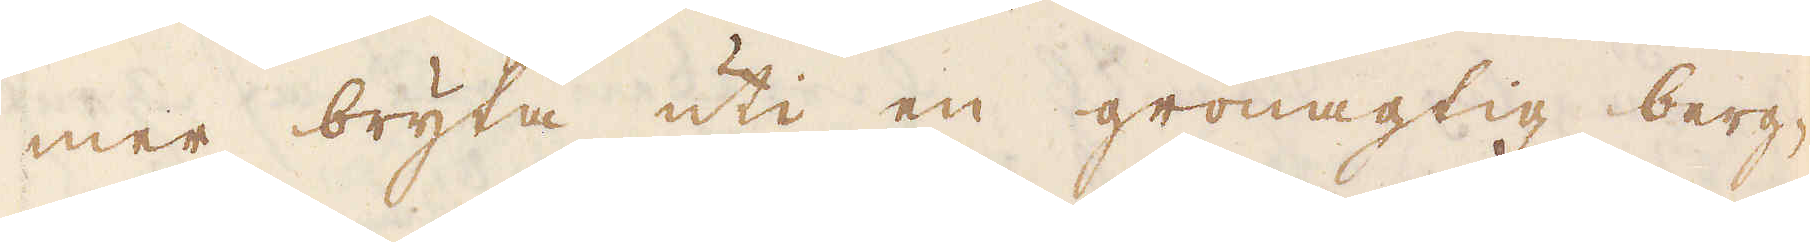mer bryta uti en grönagtig berg-
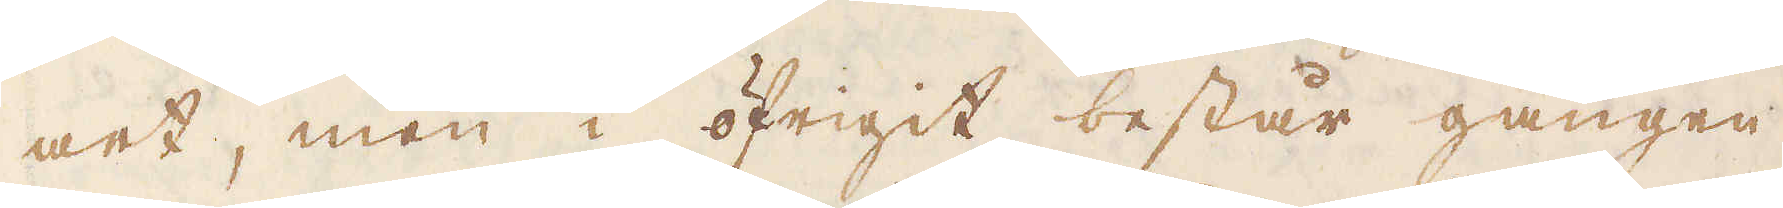art, men i öfrigit består gången
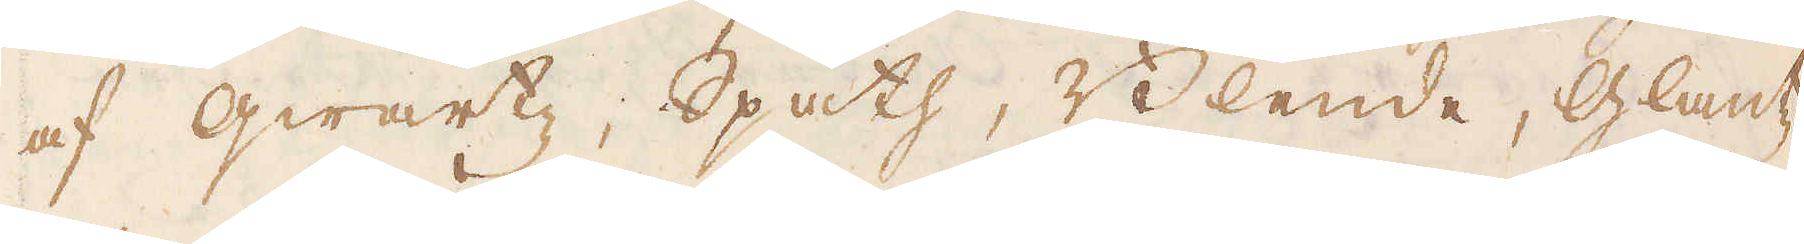af qwartz, Spath, Blende, Glantz
